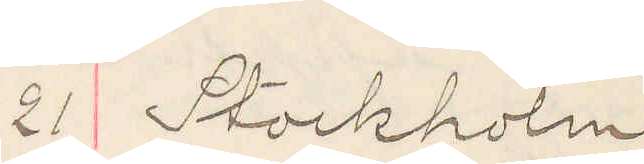21 Stockholm
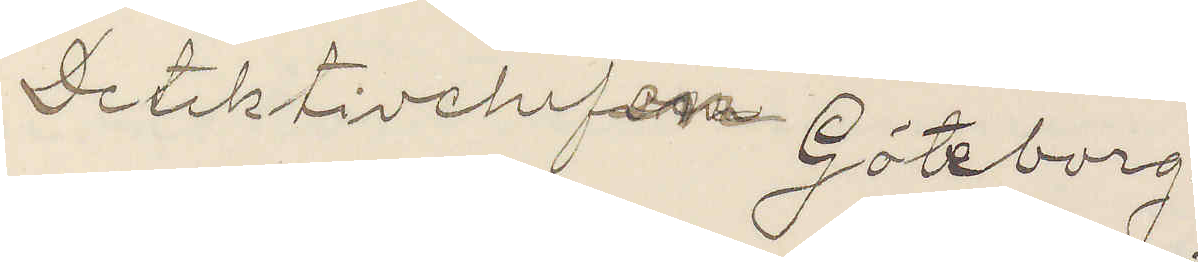Detektivchefen Göteborg.
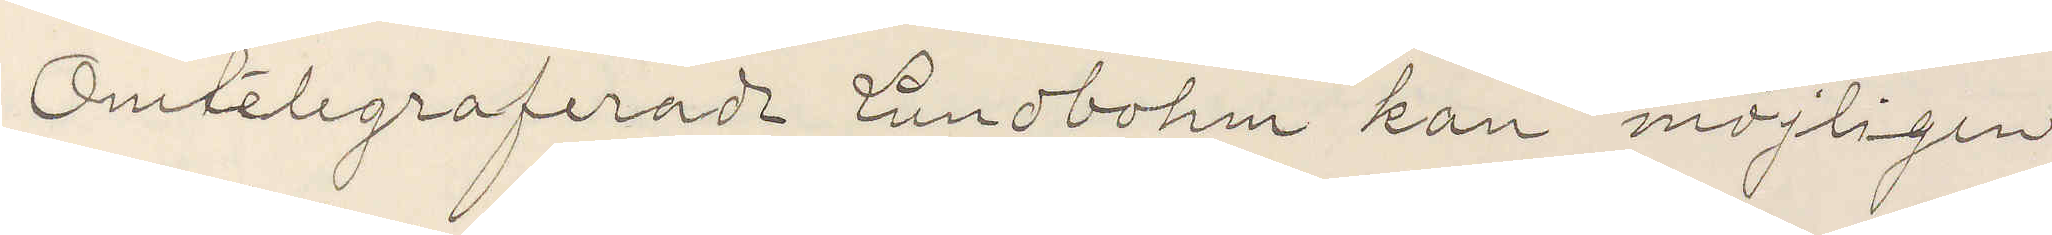Omtelegraferade Lundbohm kan möjligen
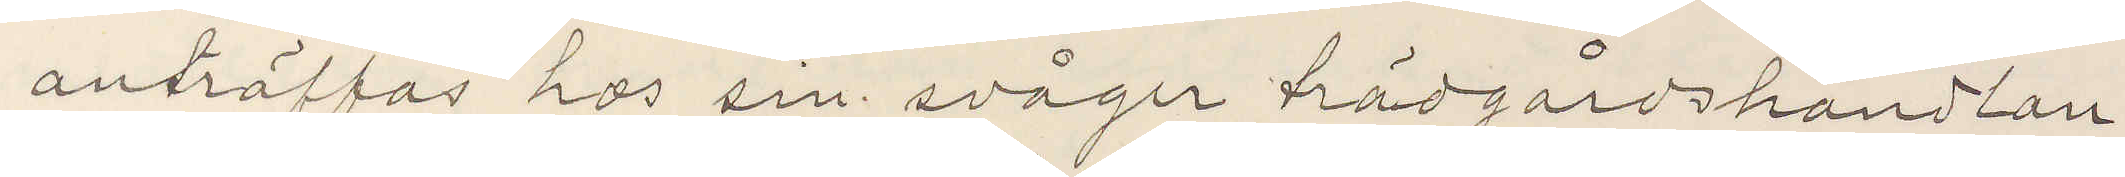anträffas hos sin svåger trädgårdshandlan¬
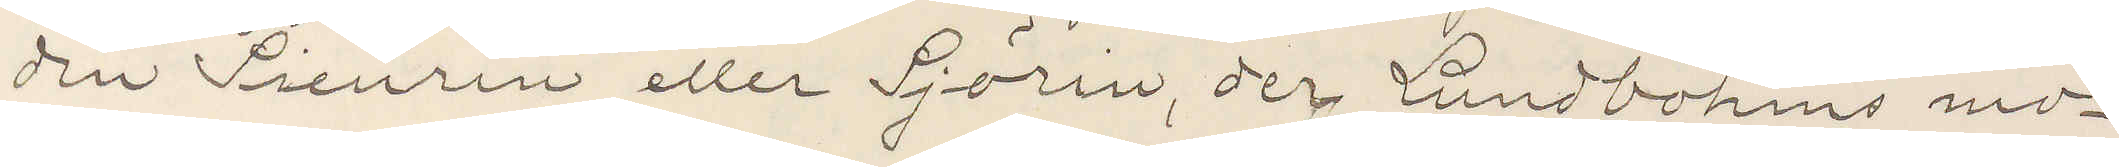den Sieurin eller Sjörin, der Lundbohms mo¬
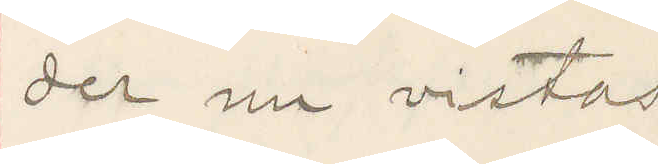der nu vistas
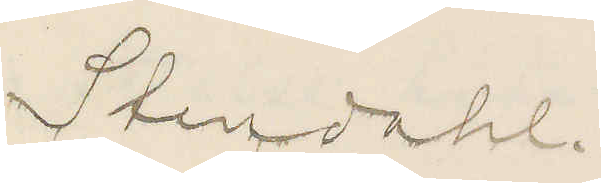Stendahl
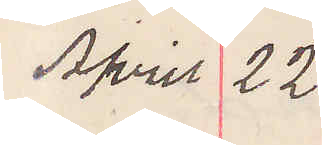April 22
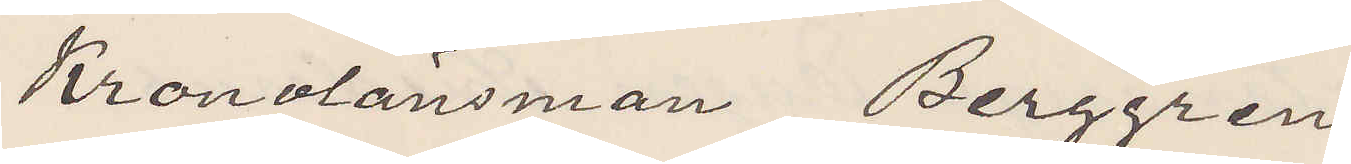Kronolänsman Berggren
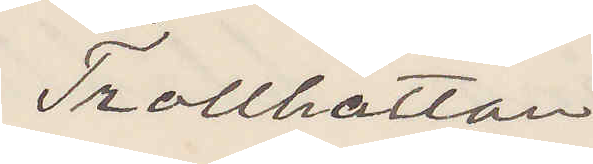Trollhättan
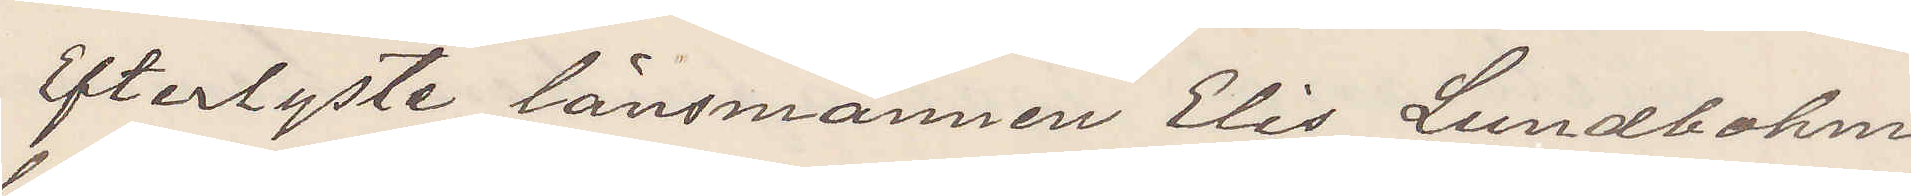Efterlyste länsmannen Elis Lundbohm
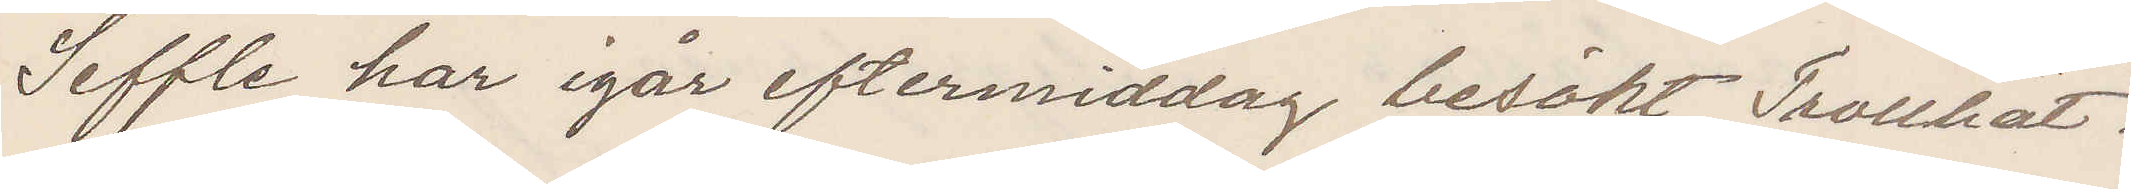Seffle har igår eftermiddag besökt Trollhät¬
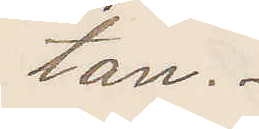tan.
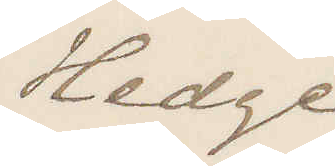Hedge
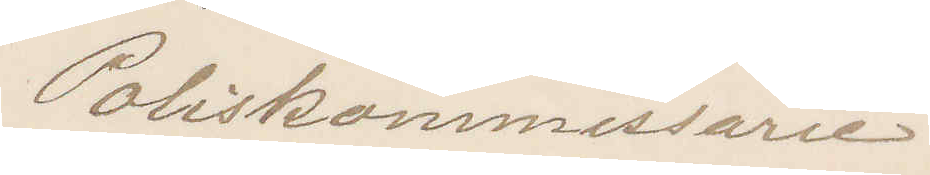Poliskommissarie.
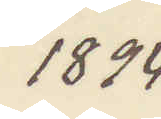1894
